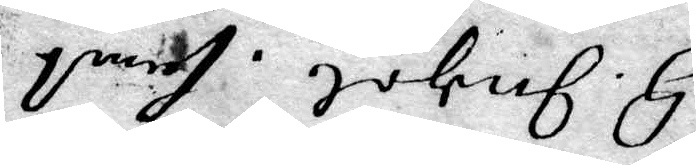H. Ingel. samt
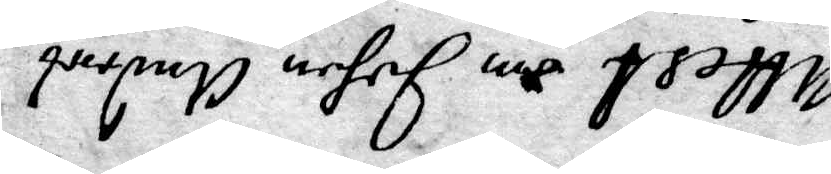Attest om Johan Anders
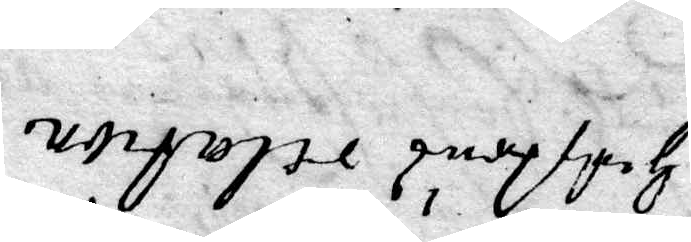Hustrus relation
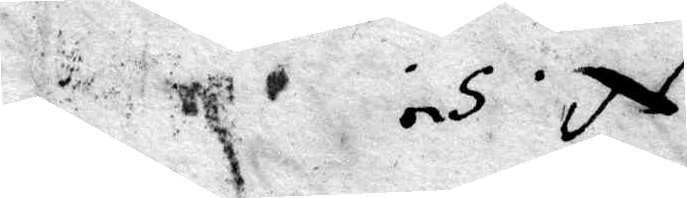N.5.
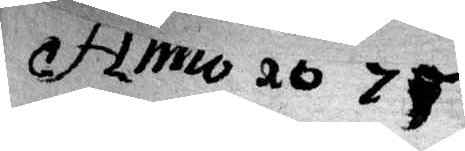Anno d 6 75
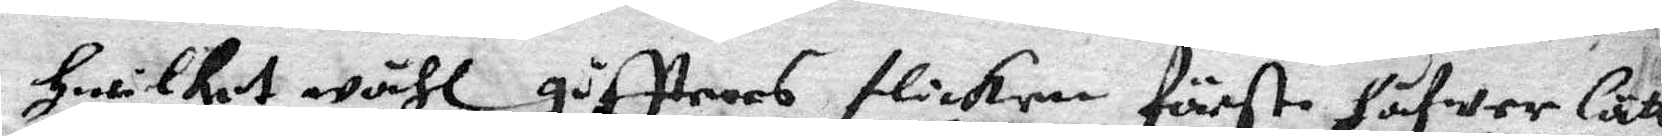Hwilket måhl giffrers flickan förste Håfwer lätt
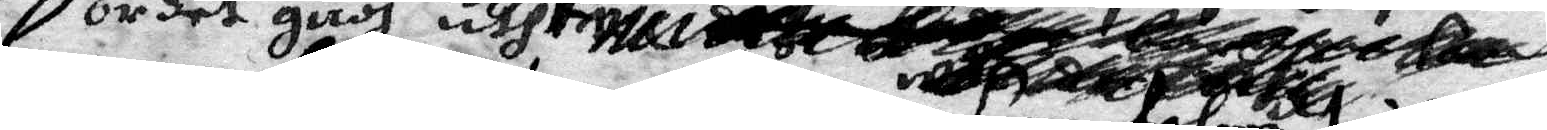ordet Gudh uthi
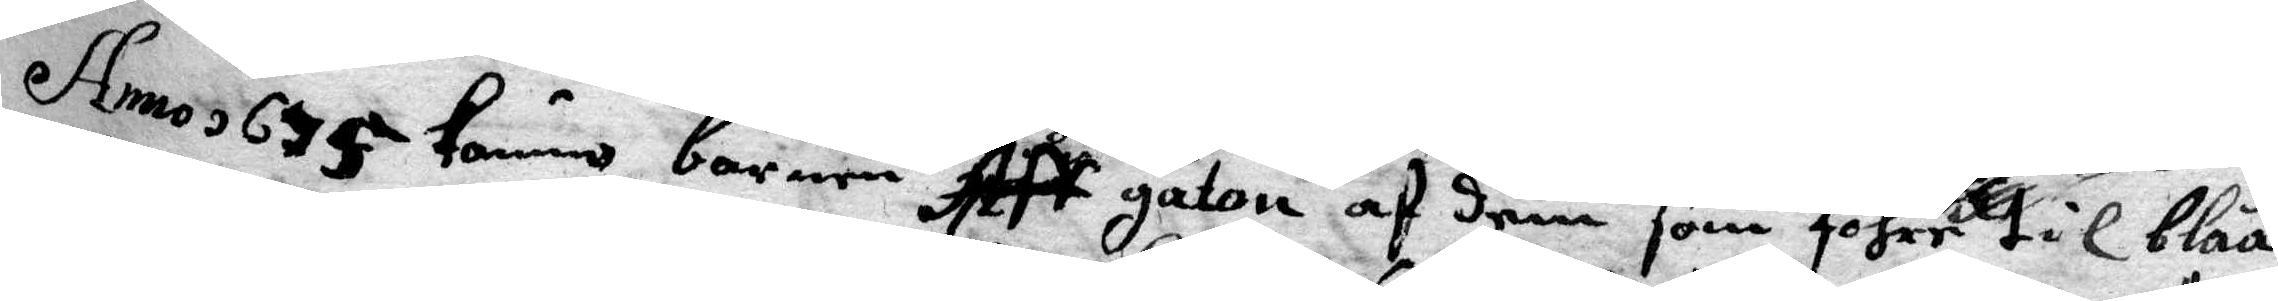Anno 675 kommo barnen aff gaton af dem som fohre til blåå¬
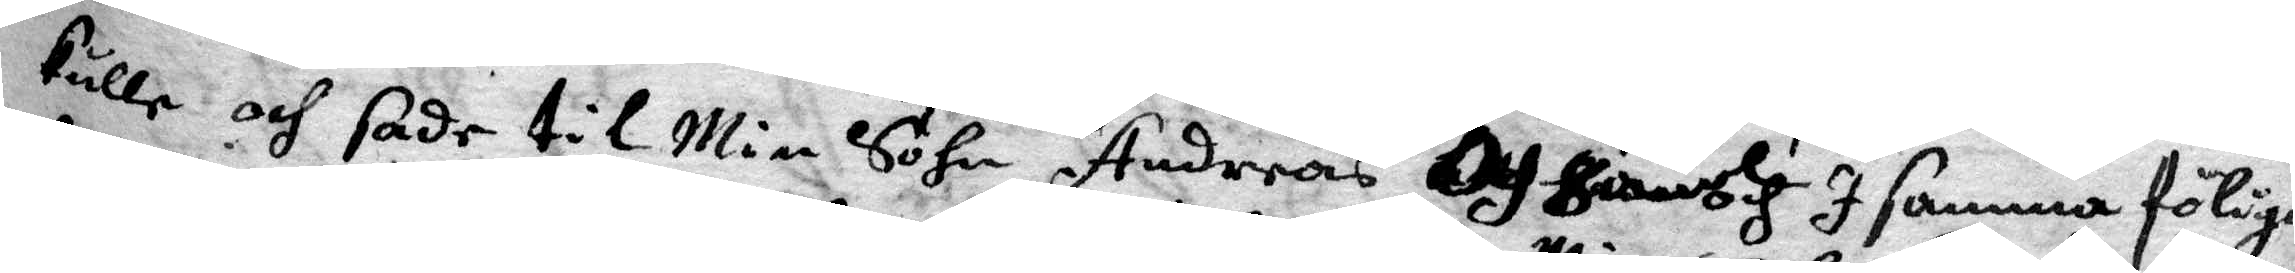kulla och sade till Min Sohn Andreas och haudh I samma föliga
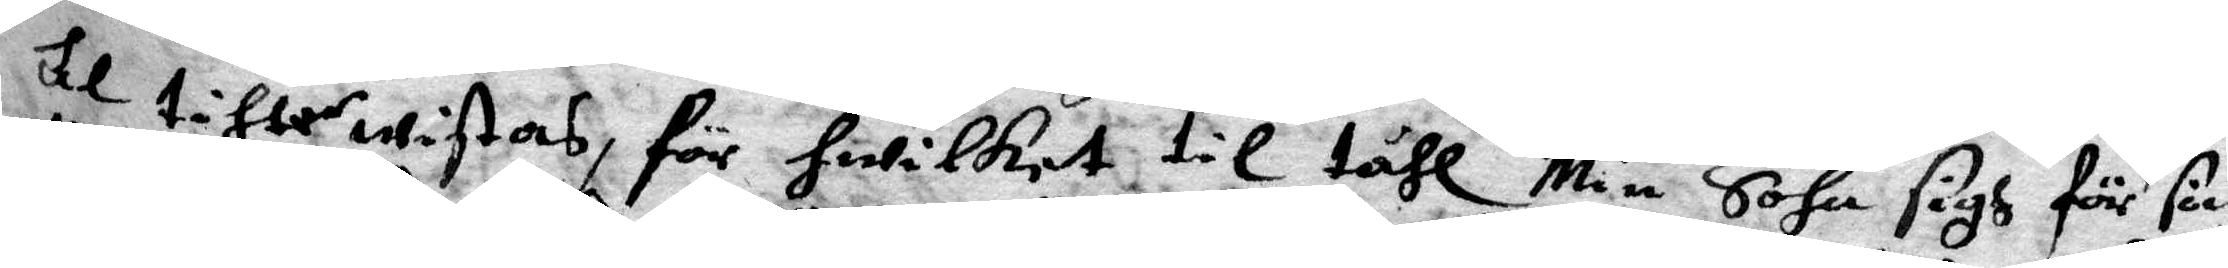til tihler wistas, för hwilket til tåhl Min Sohn sigh för sön
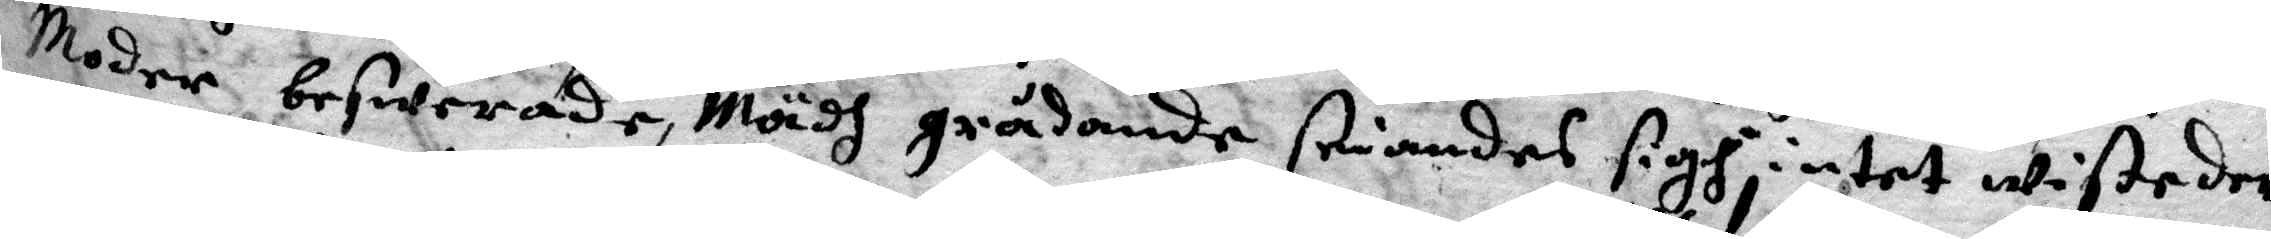Moder beswerade, Mädh gråtande seiandes sigh intet wiste der
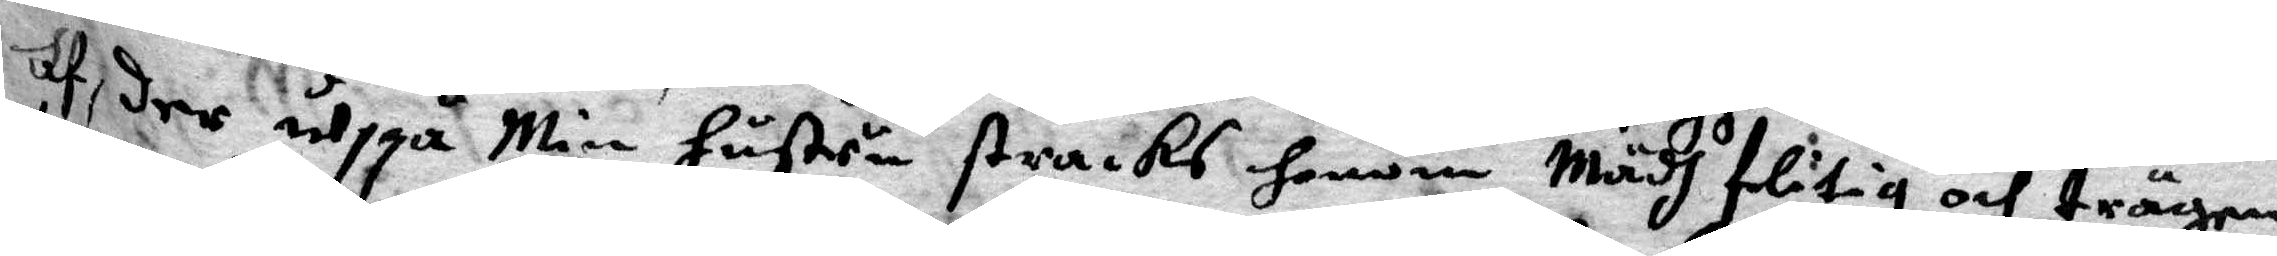af, der uppå Min Hustru stracks Honom Mädh flitig och trägen
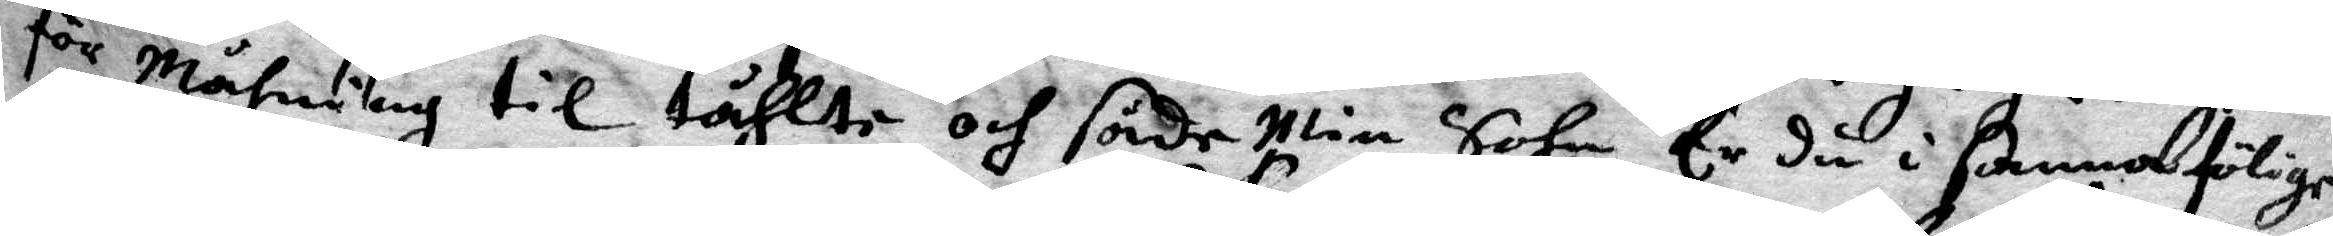för Mähning til tåhlte och sade Min Sohn Er du i samma fölige
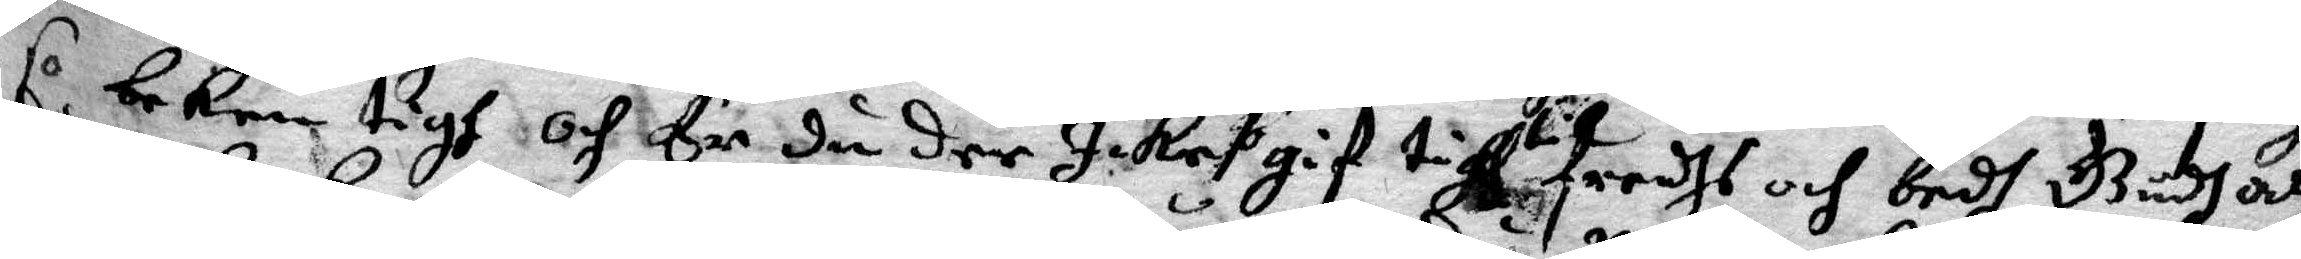so beken tigh och Er du der Icke gif tigh til fredhs och bedh Gudh att
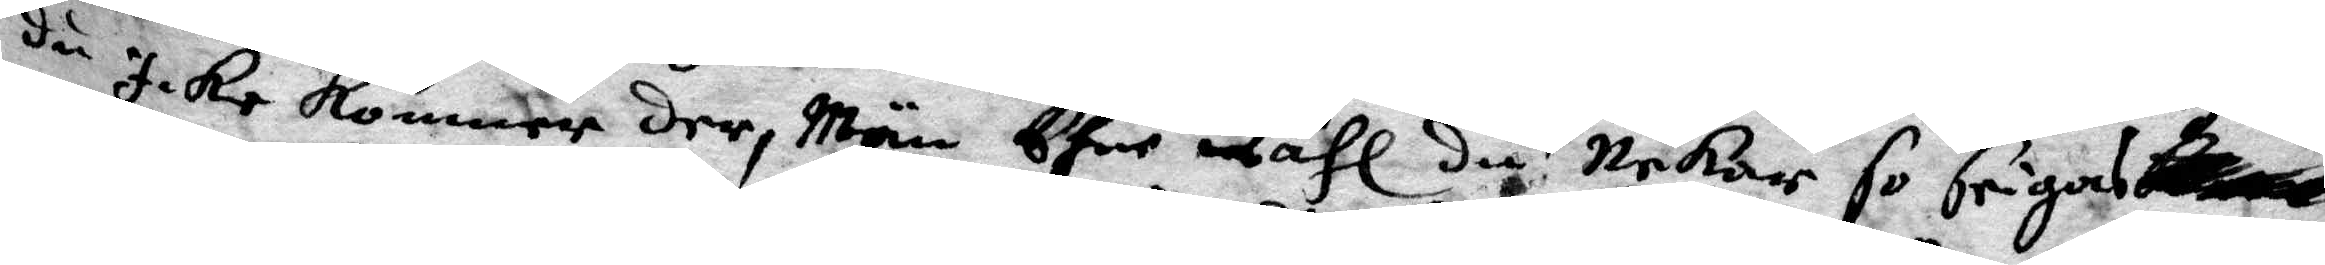du icke kommer der, Män Ehre åhl du Nekar so frigas
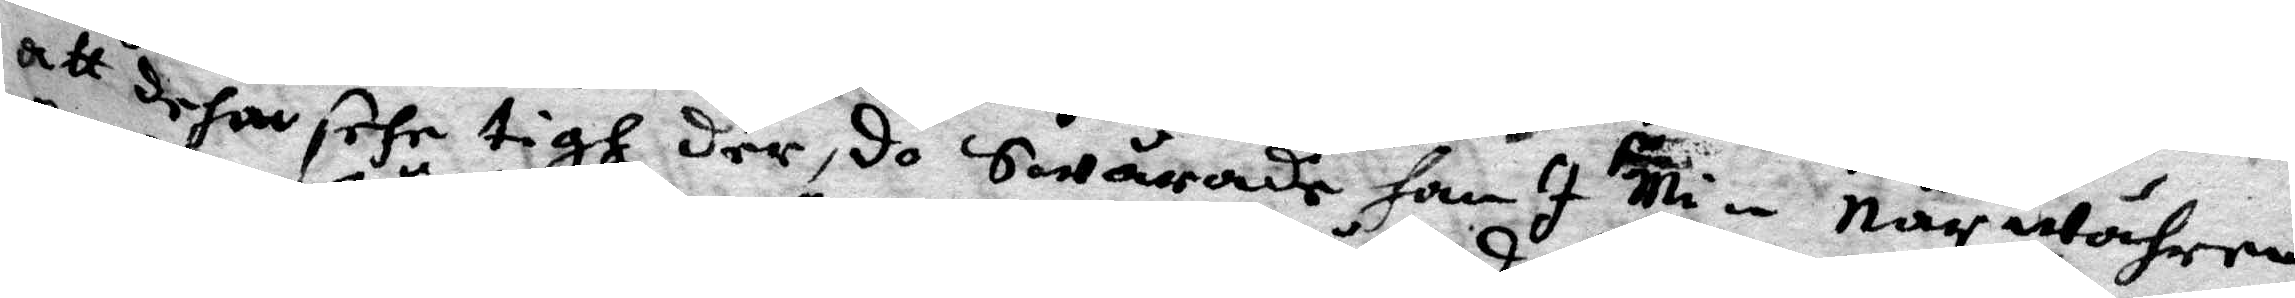att dehan sehr tigh der, do Swårade Han I Min närwähren
